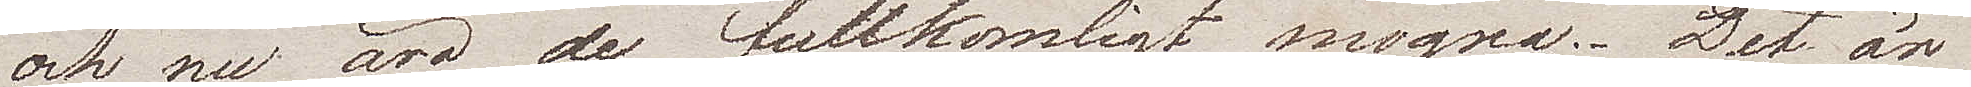och nu äro de fullkomligt mogna. Det är
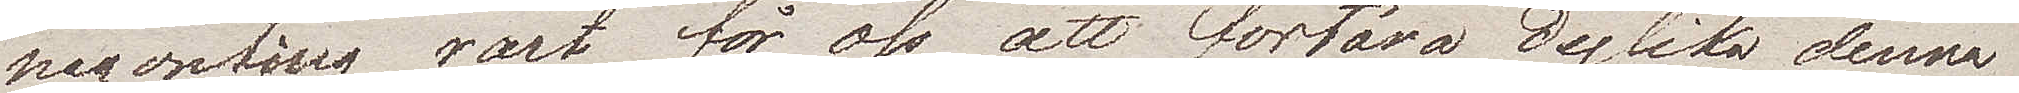någonting värt för oss att förtära dylika denna 
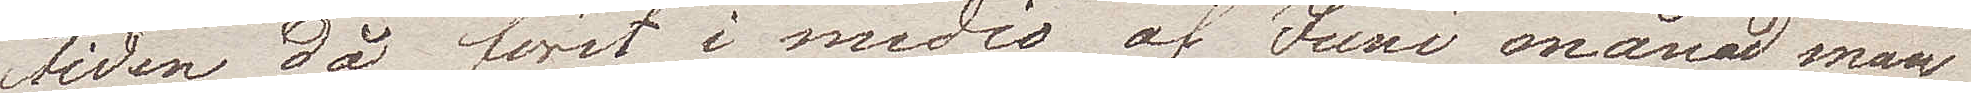tiden då först i medio af Juni månad man
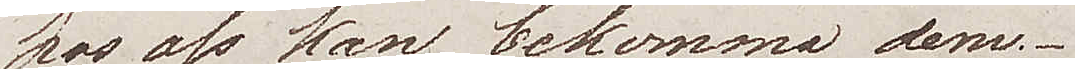hos oss kan bekomma dem.
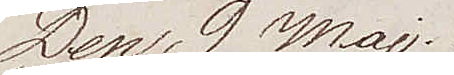Den 9 Maj.
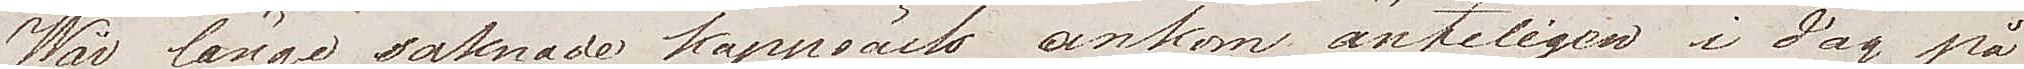Wår länge saknade kappsäck, ankom änteligen i dag på
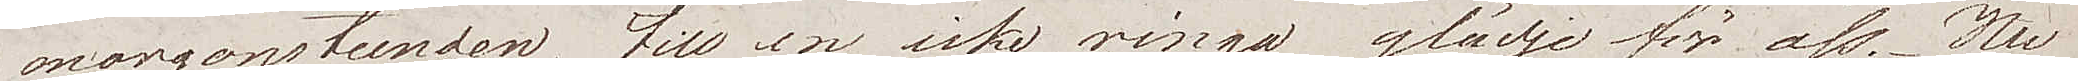morgonstunden, till en icke ringa glädje för oss. Nu
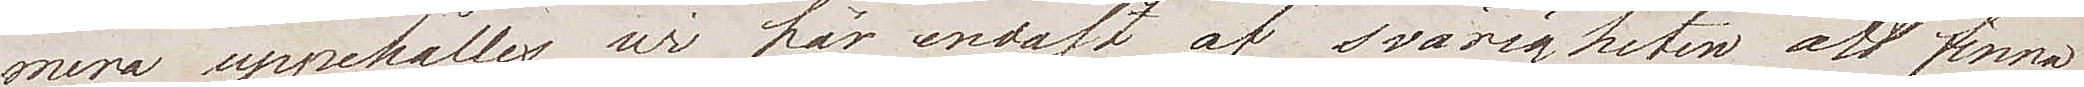mera uppehålles wi här endast af svårigheten att finna
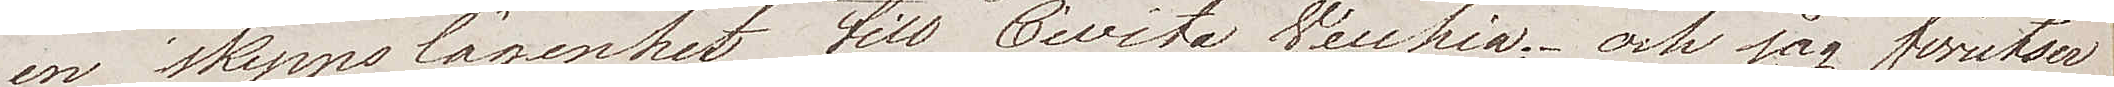en skeppslägenhet till Civita Vecchia; och jag förutser
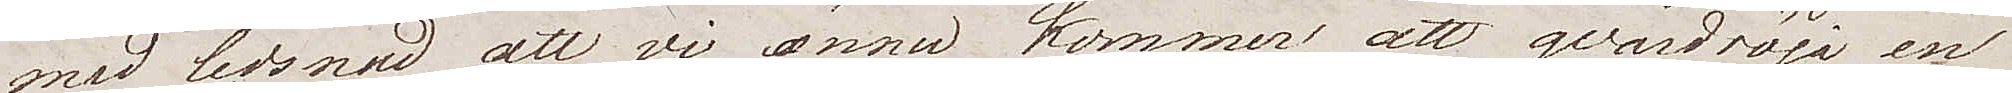med ledsnad att vi ännu komma att qvardröja en
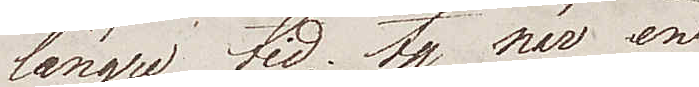längre tid, ty när en
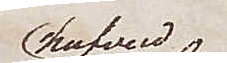hufvud¬
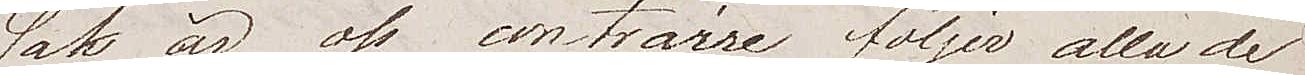sak är oss contraire, följer alla de
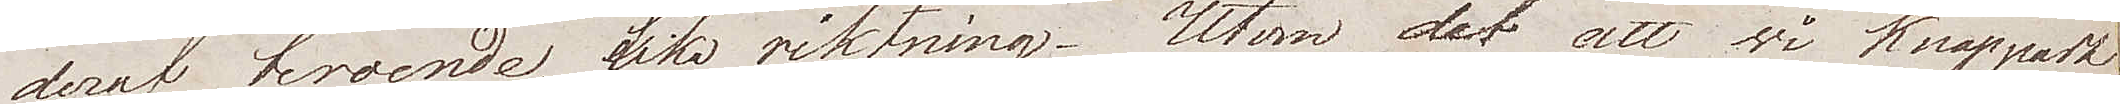deraf beroende lika riktning. Utom det att wi hoppades
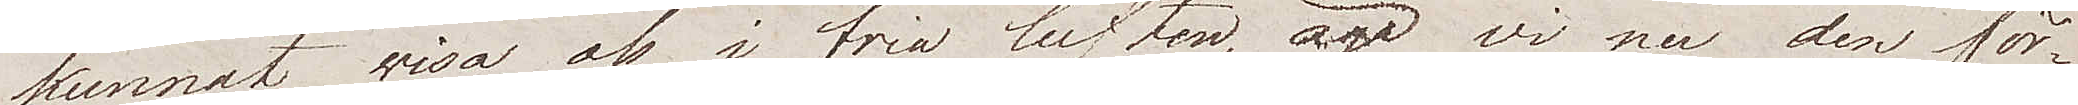kunnat wisa oss i fria luften, äga wi nu den för¬
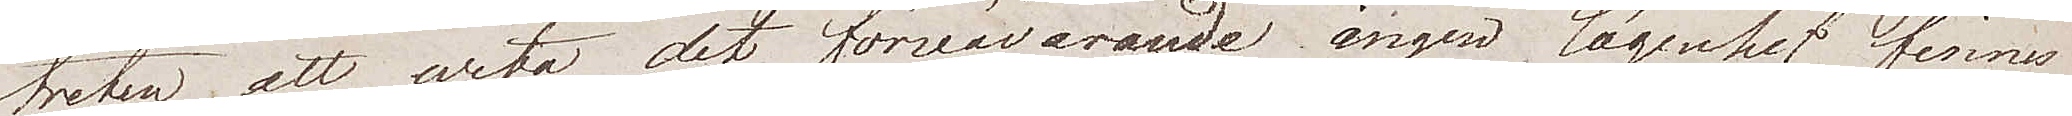treten att veta det förnärwarande ingen lägenhet finnes
